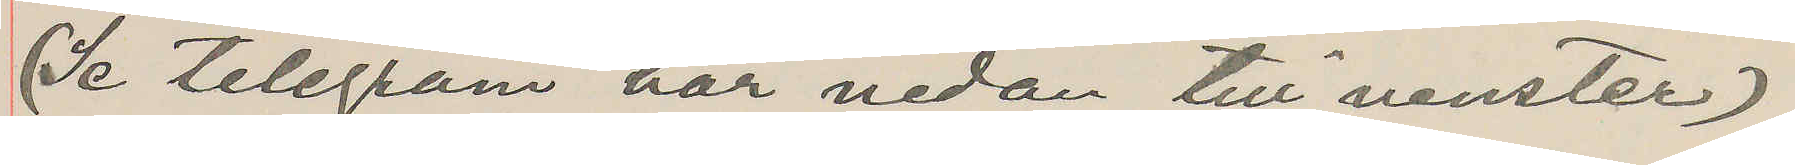(Se telegram här nedan till venster)
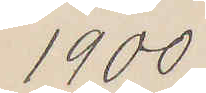1900
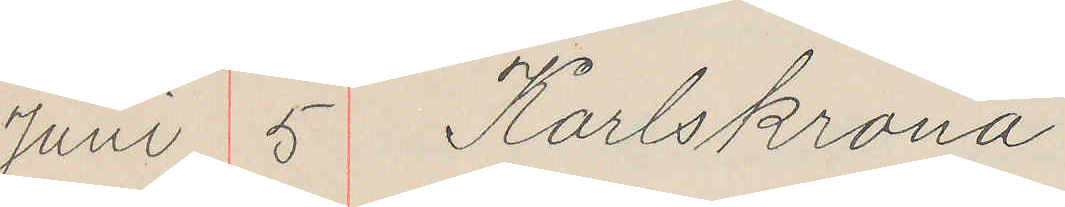Juni 5 Karlskrona
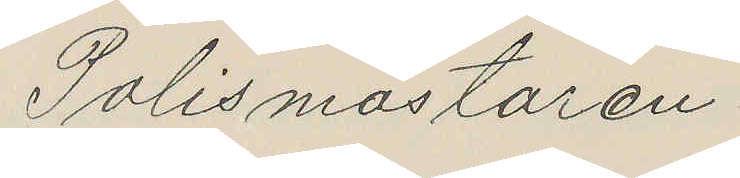Polismästaren
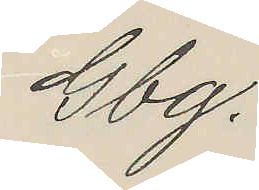Gbg.
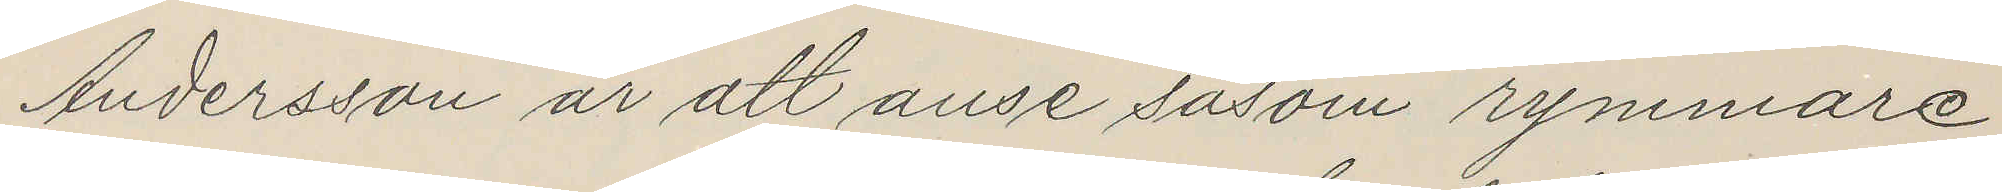Andersson är att anse såsom rymmare
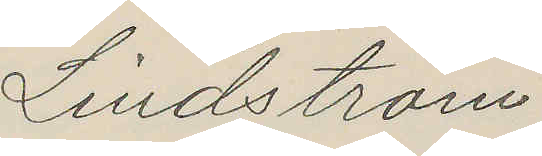Lindström
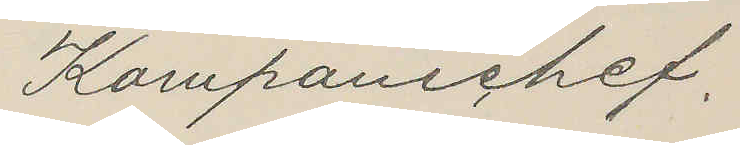Kompanichef.
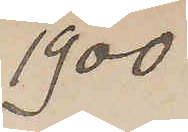1900
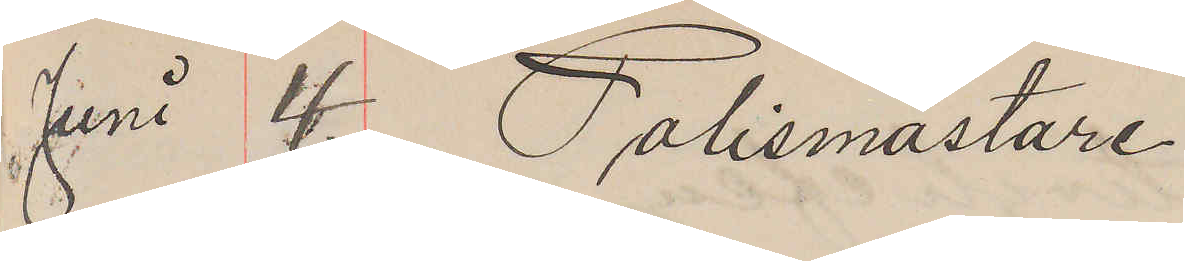Juni 4. Polismästare
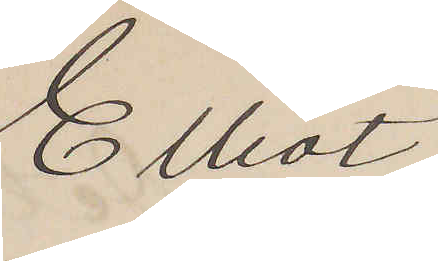Elliot
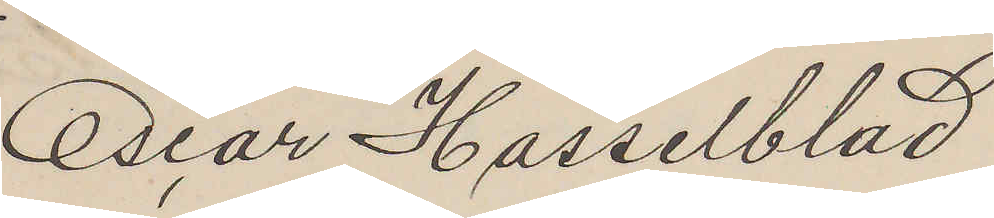Oscar Hasselblad
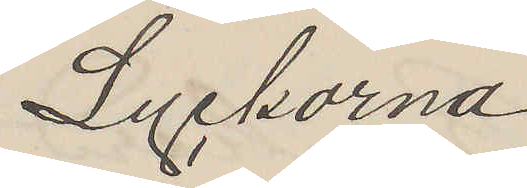Lyckorna
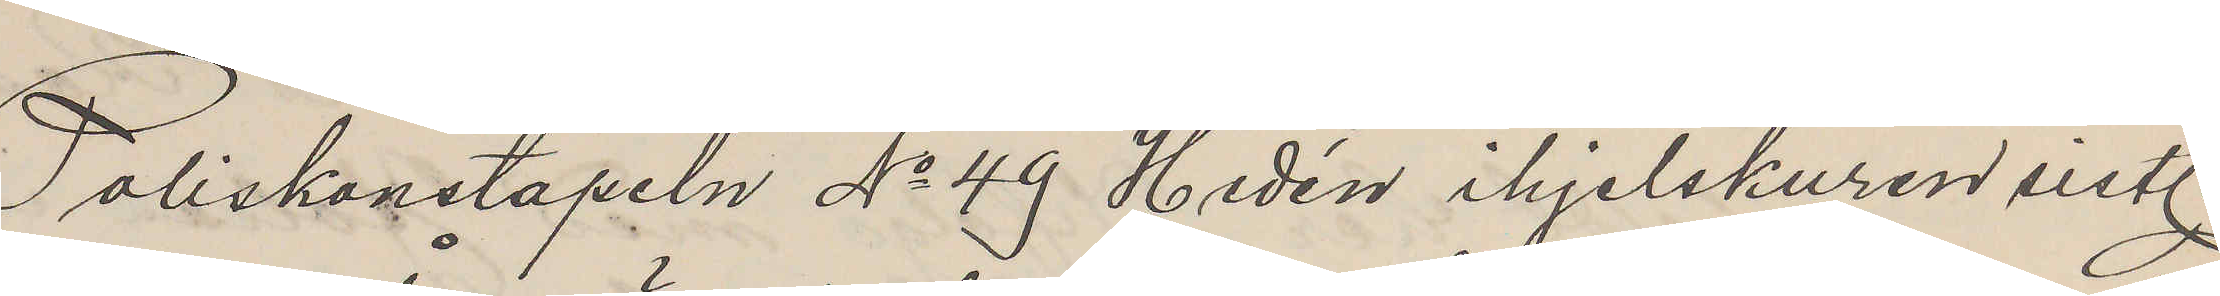Poliskonstapeln No 49 Hedén ihjelskuren sistl.
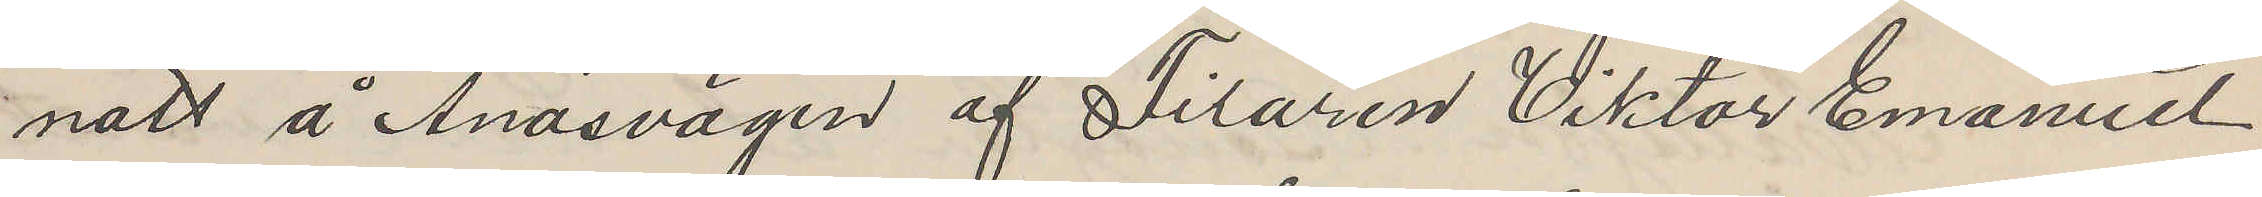natt å Ånasvägen af Filaren Viktor Emanuel
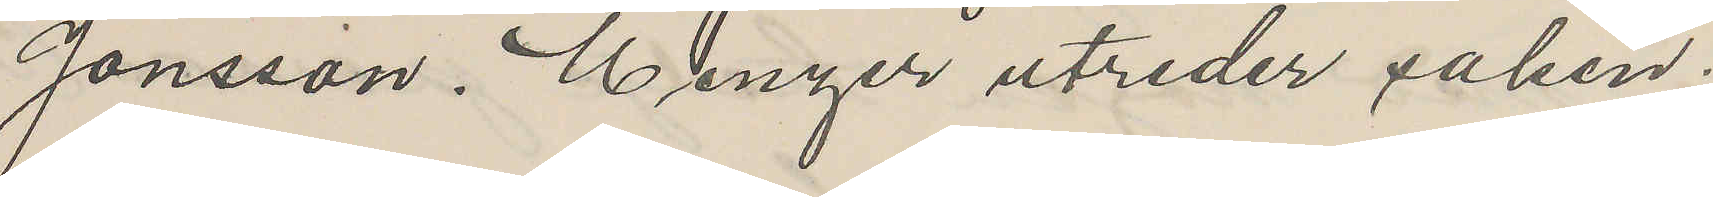Jonsson. Menzer utreder saken.
